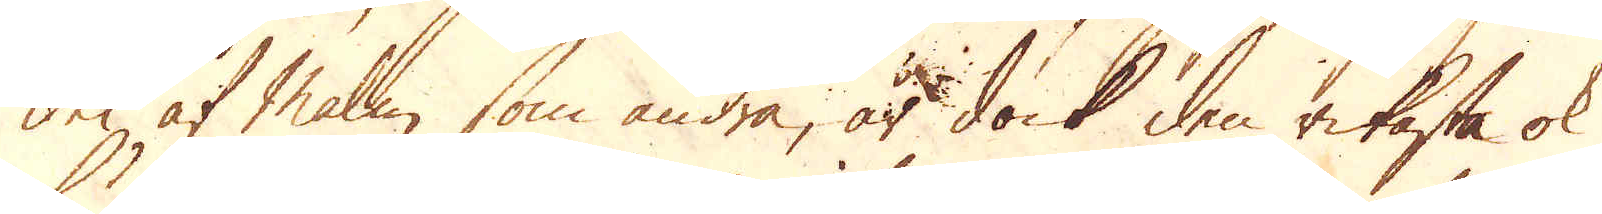del af Malm, som andra, är dock den rikaste ok
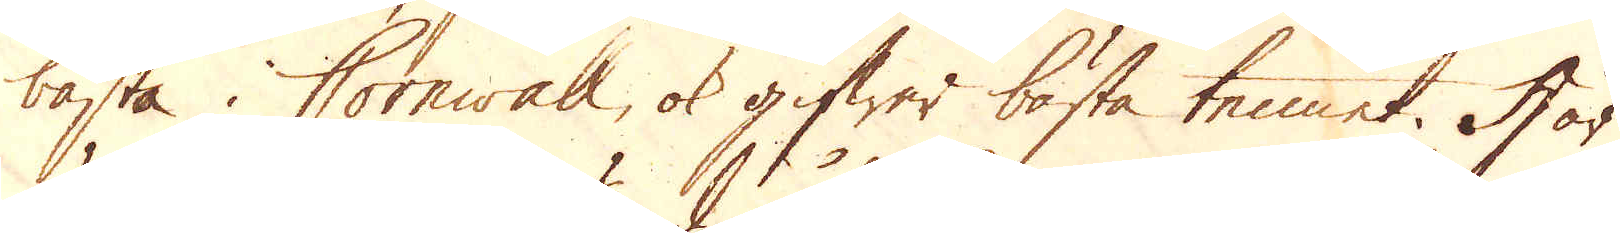bästa i Cornwall ok gifwer bästa tennet. Här
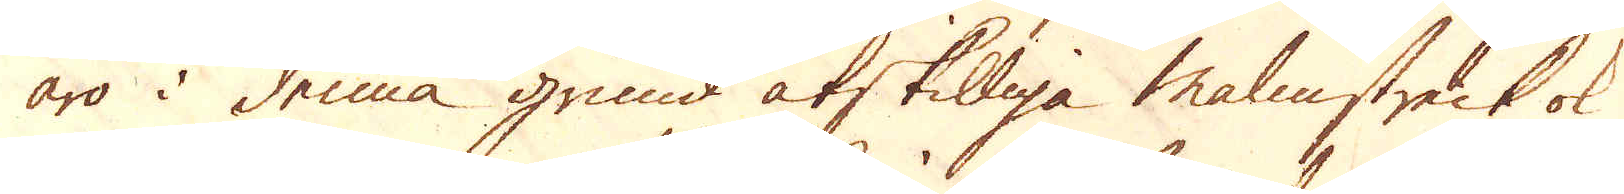äro i denna grund åtskilliga Malmstreck ok
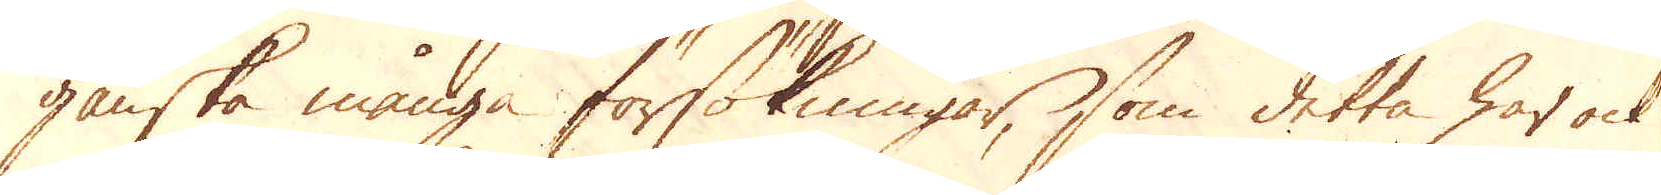ganska många försökningar, som detta har ock
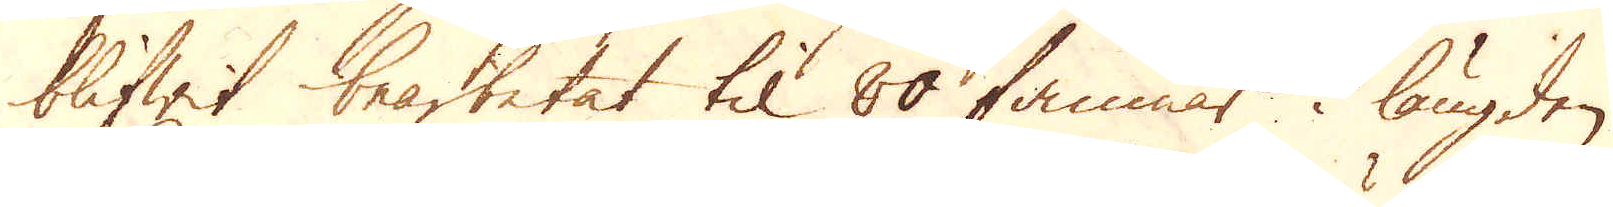blifwit bearbetat til 80 famnar i längden
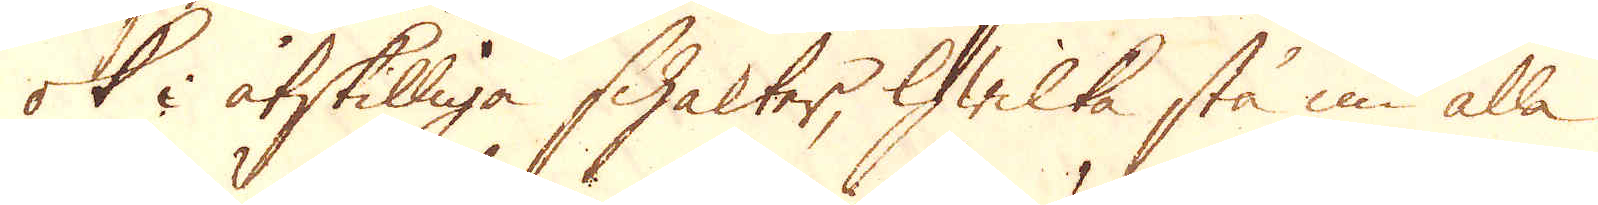ok i åtskilliga schakter, hwilka stå nu alla
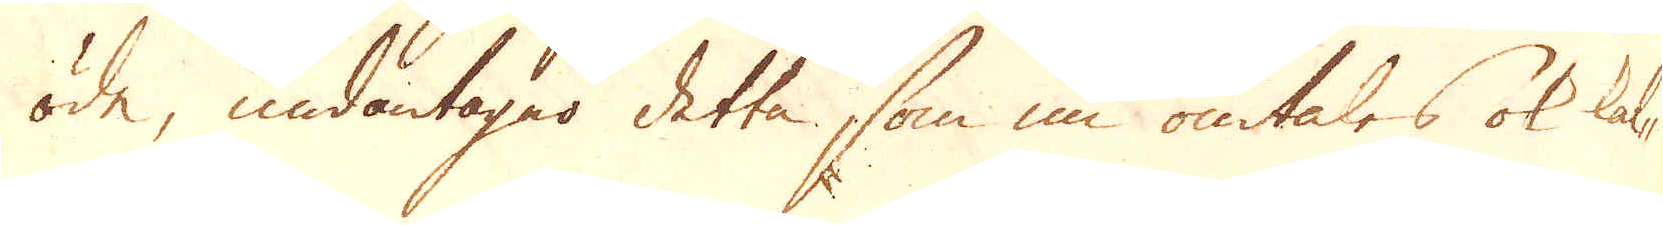öde, undantager detta, som nu omtales ok kal-
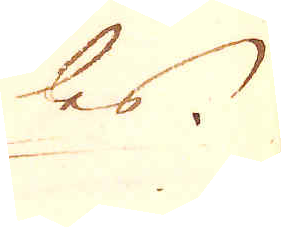les
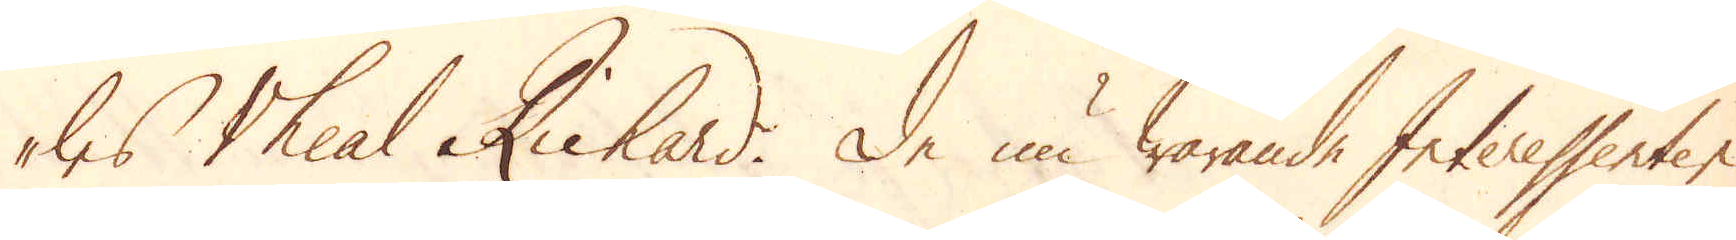les Vheal Richard. De nu warande Interessenter
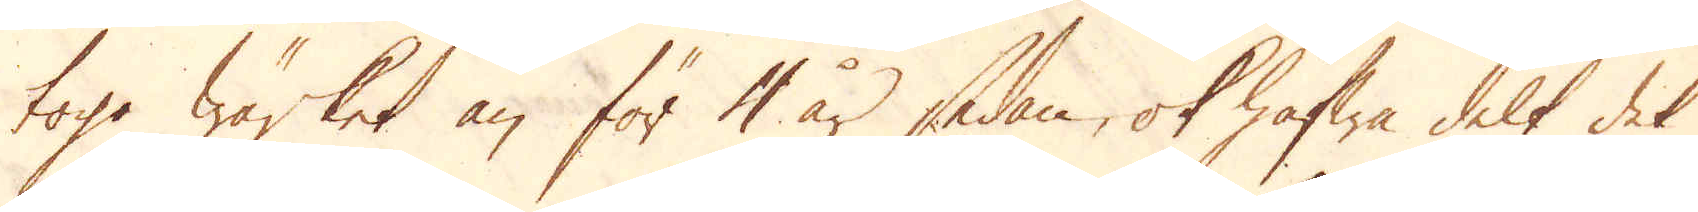togo Wärket än för 4 år sedan, ok hafwa delt det
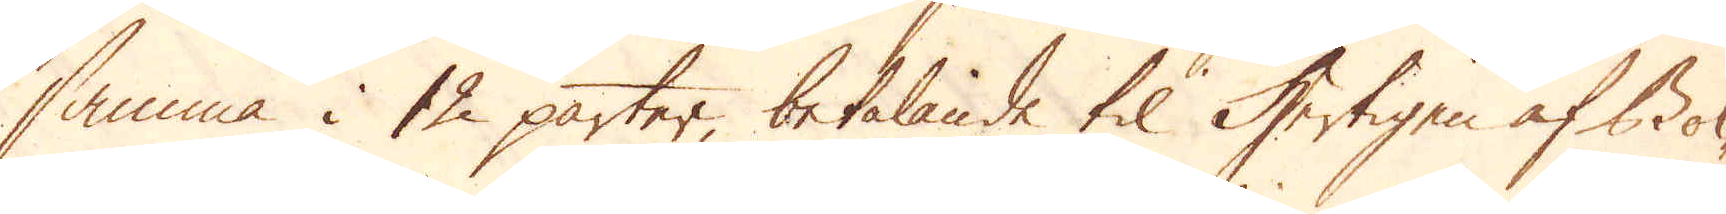samma i 12 parter, betalande til Hertigen af Bol-
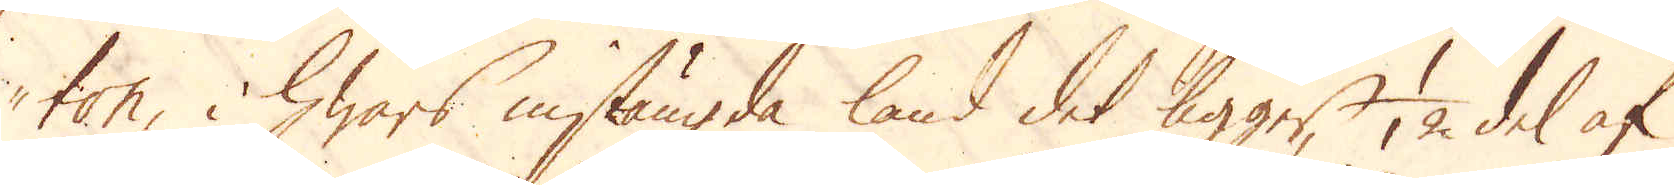ton, hwars instängda land det ligger, 1/12 del af
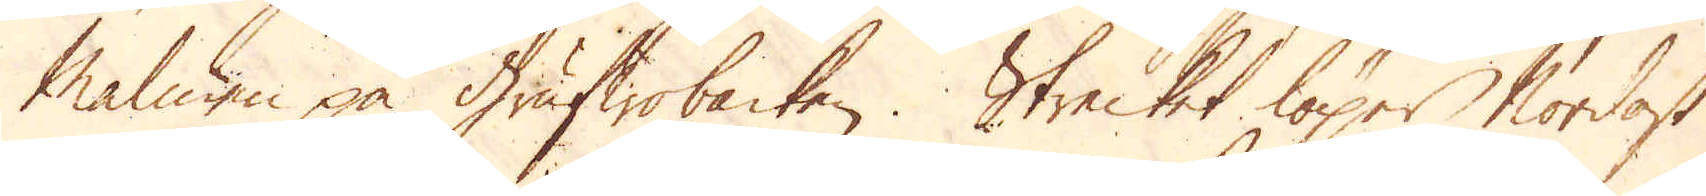Malmen på Grufwobacken. Strecket löper Nordost
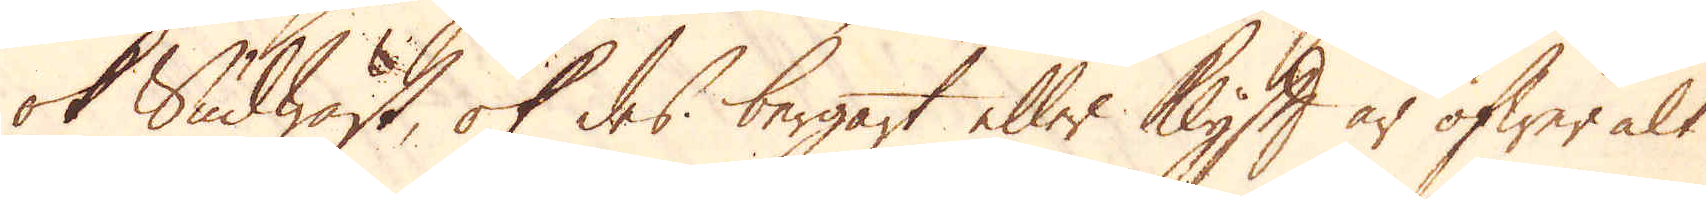ok Sudwäst, ok des bergart eller Klyft är öfwer alt
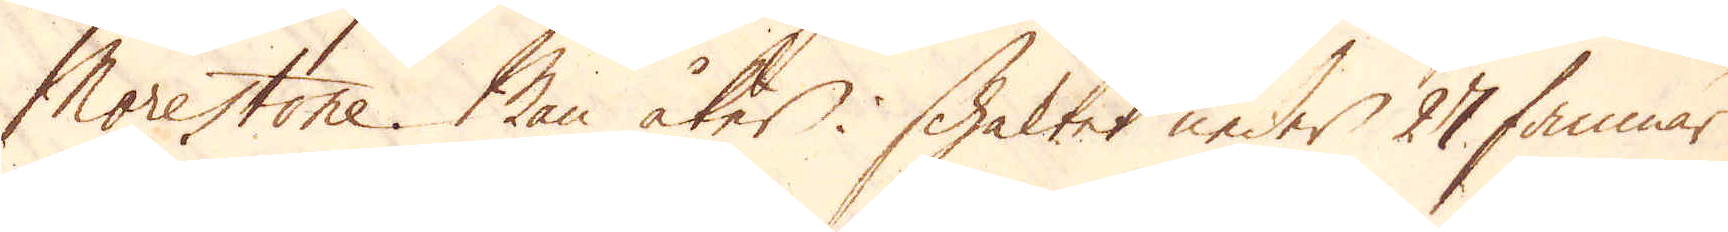Morestone. Man åker i schaktet neder 27 famnar
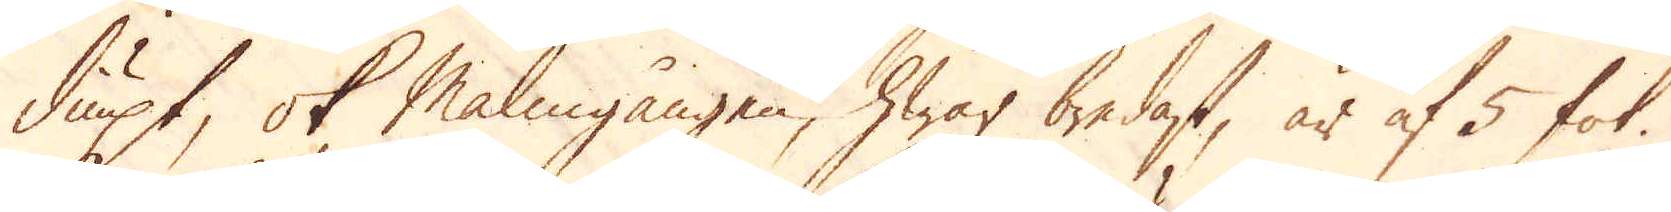diupt, ok Malmgången, hwar bredast, är af 5 fot.
